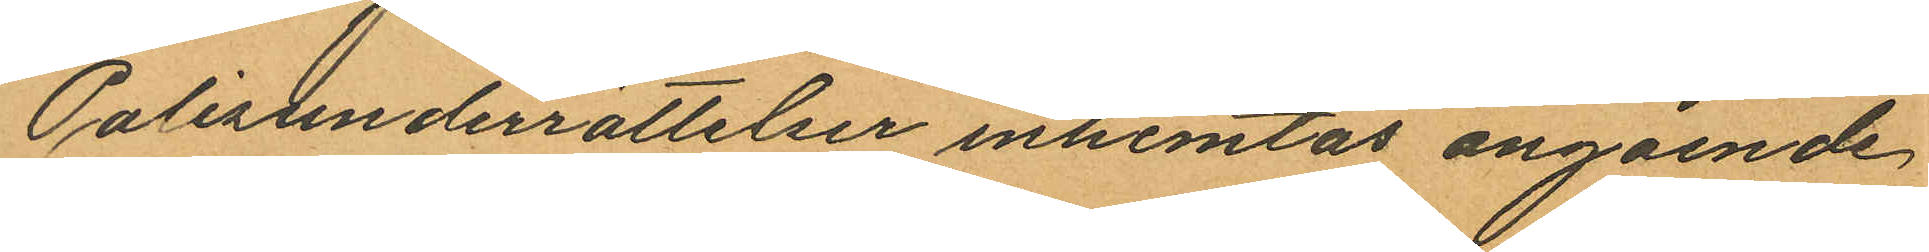Polisunderrättelser inhemtas angående
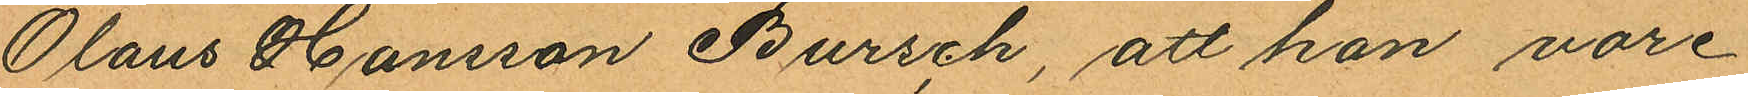Olaus Hansson Bursch, att han vore
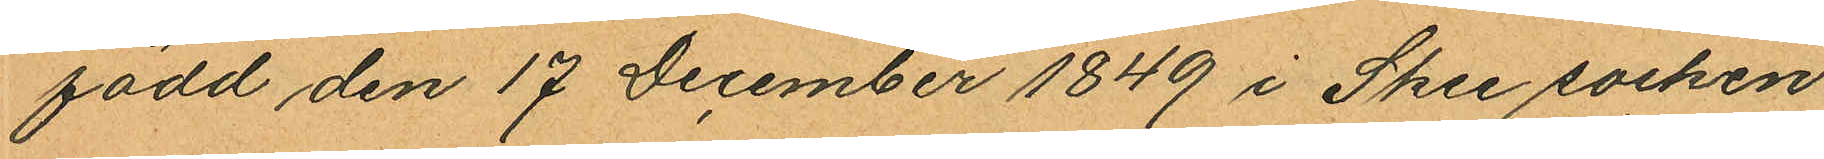född den 17 December 1849 i Skee socken
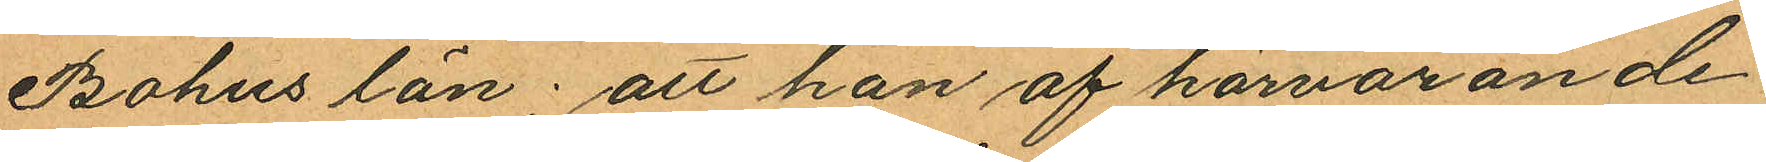Bohus län; att han af härvarande
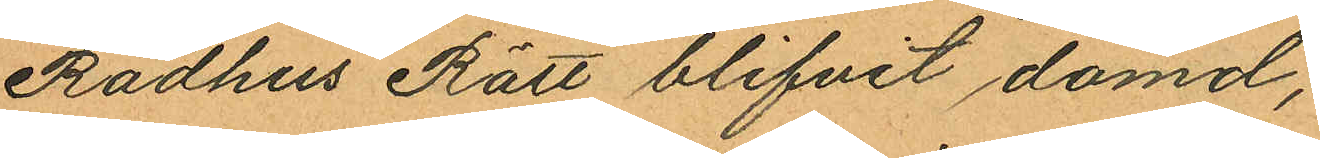Rådhus Rätt blifvit dömd;
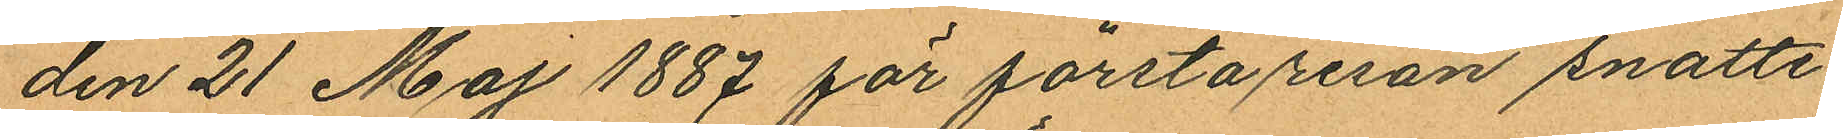den 21 Maj 1887 för första resan snatte¬
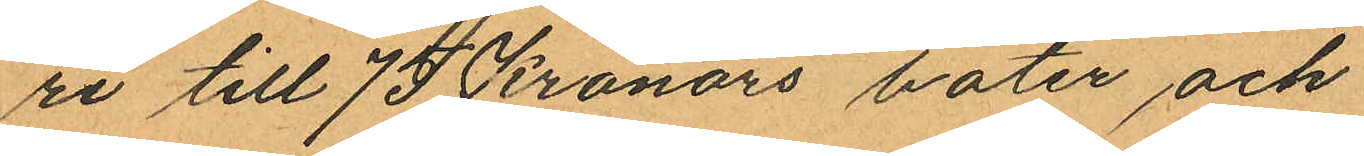ri till 75 Kronors böter och
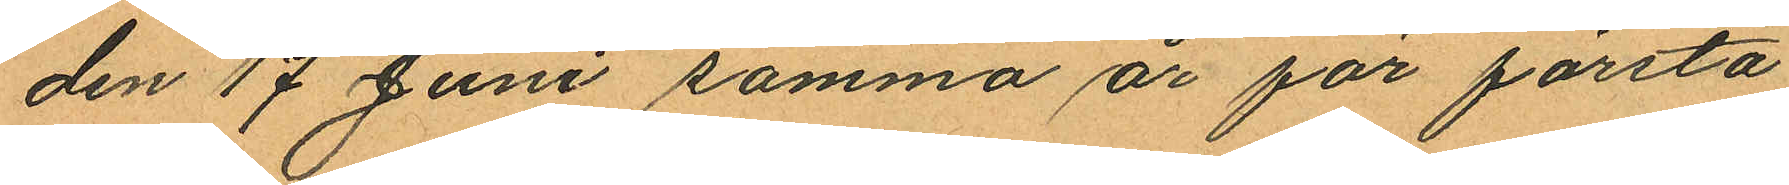den 17 Juni samma år för första
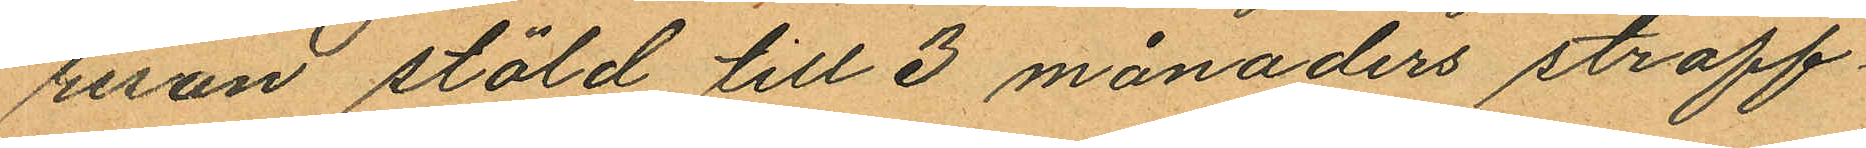resan stöld till 3 månaders straff¬
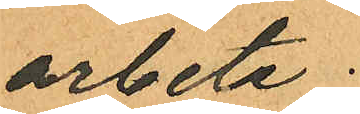arbete;
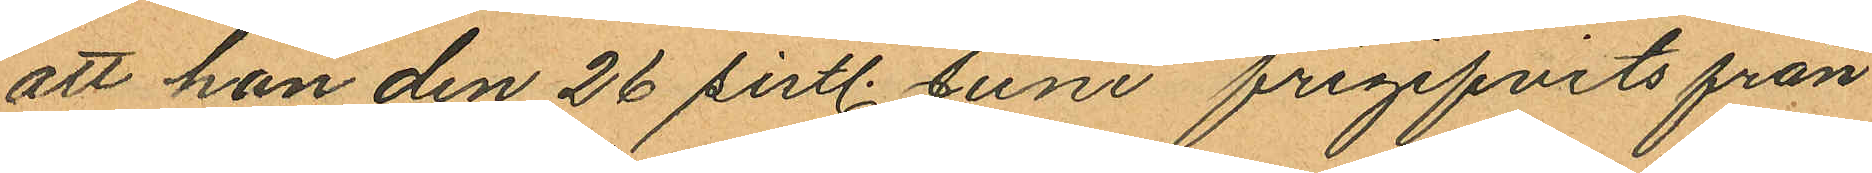att han den 26 sistl. Juni frigifvits från
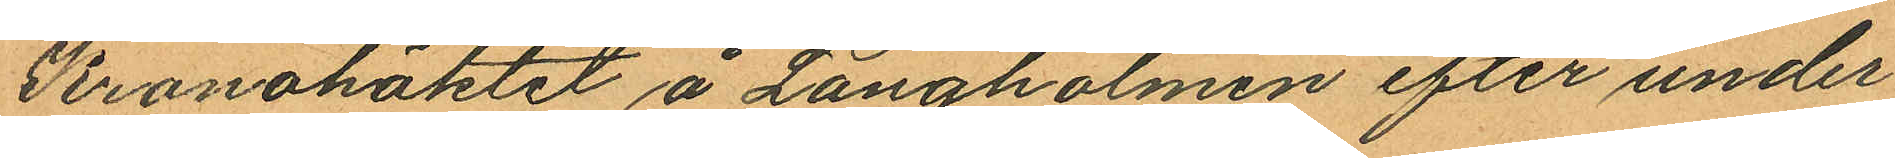Kronohäktet å Långholmen efter under¬
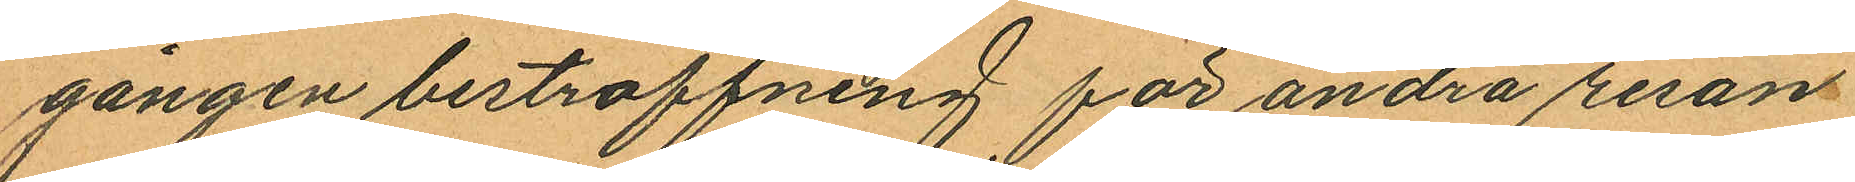gången bestraffning för andra resan
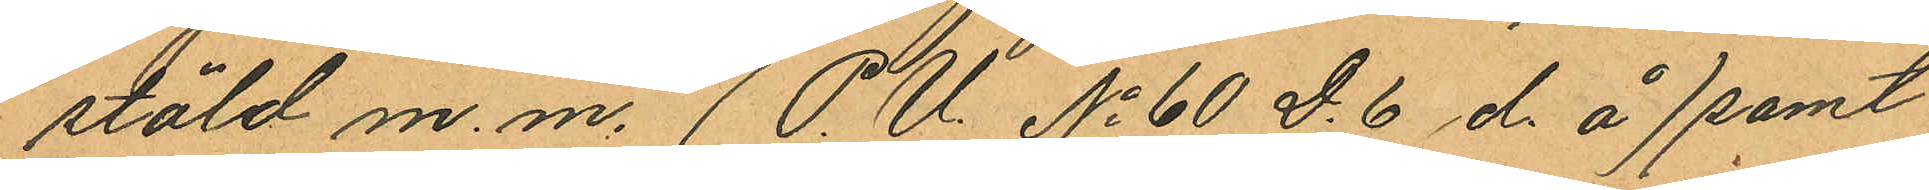stöld m. m. (P. U. No 60 D. 6 d. å) samt
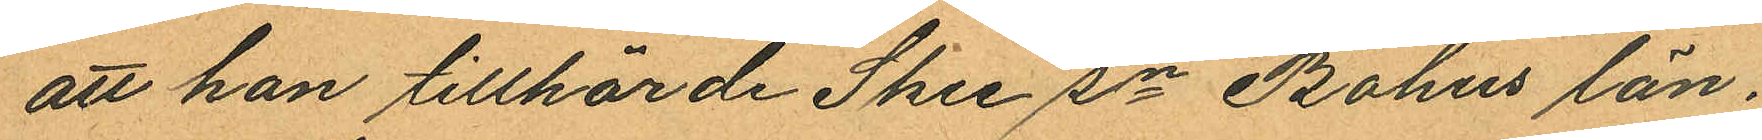att han tillhörde Skee sn Bohus län.
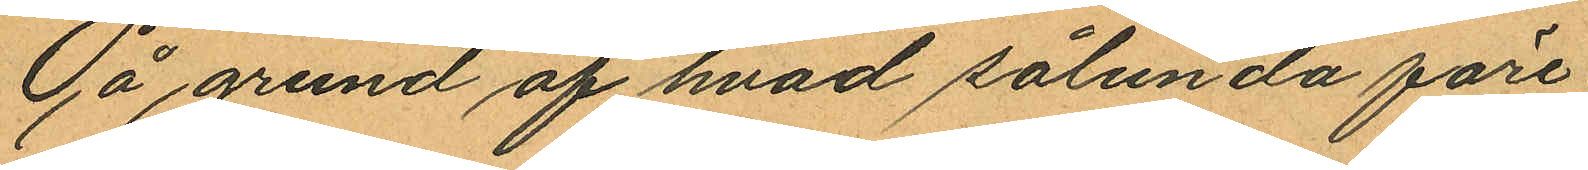På grund af hvad sålunda före
